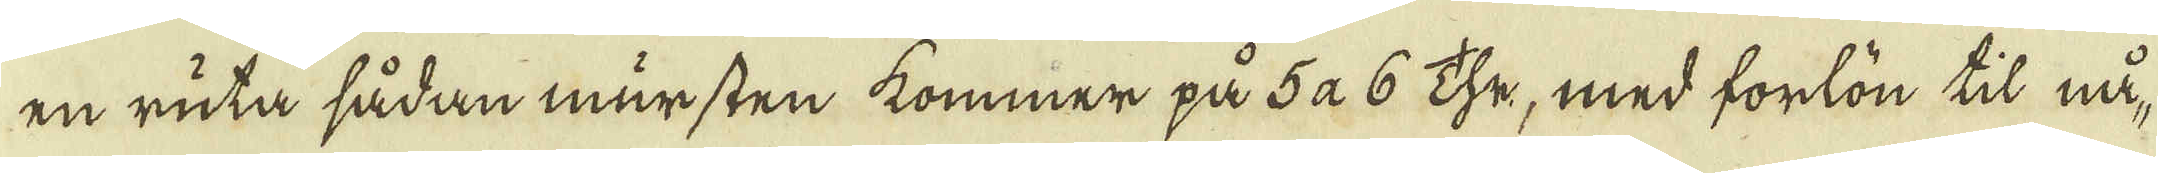en ruta sådan mursten kommer på 5 à 6 Thr, med forlön til nå-
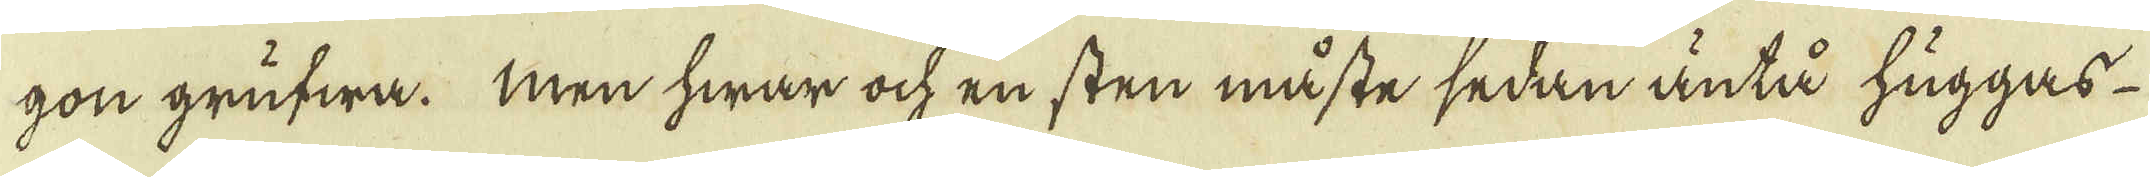gon grufwa. Men hwar ock en sten måste sedan äntå huggas
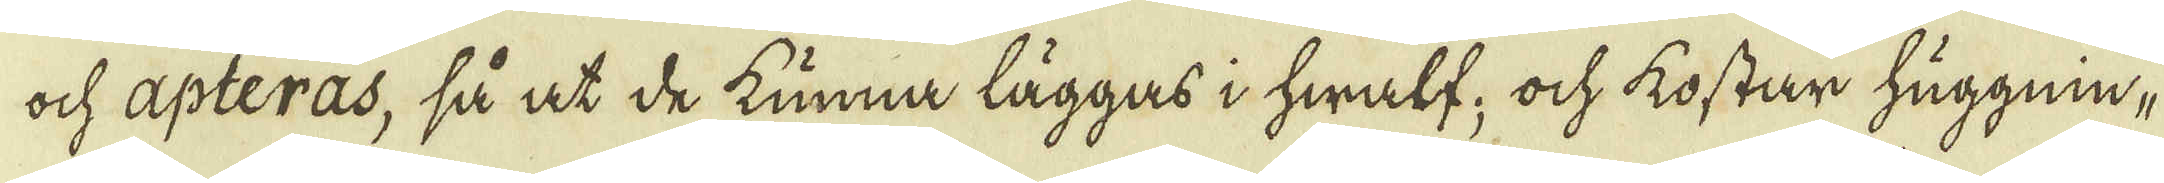ock apteras, så at de kunna läggas i hwalf; ock kostar huggnin-
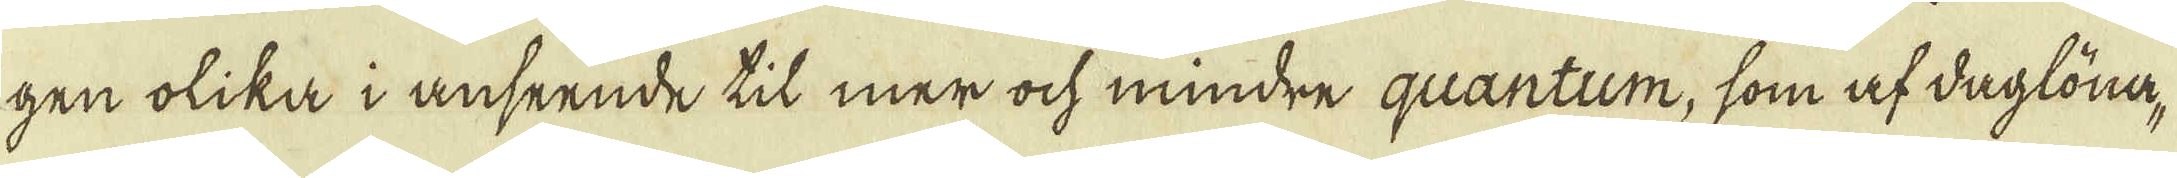gen olika i anseende til mer ock mindre quantum, som af daglöna-
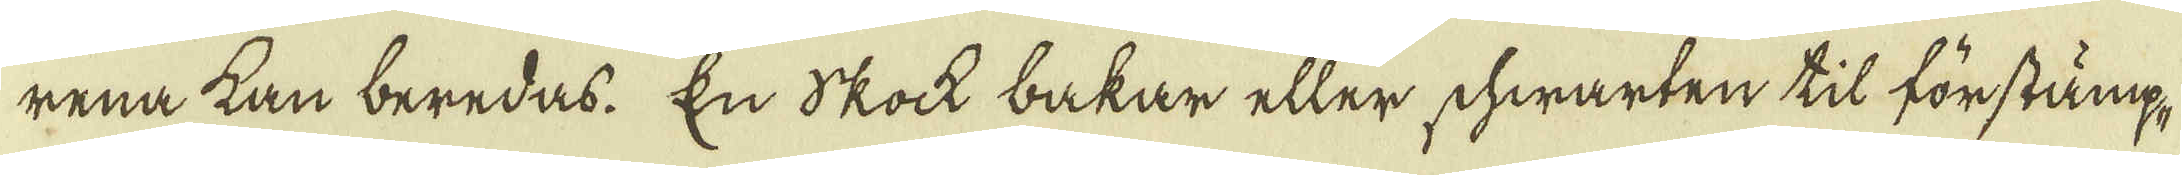rena kan beredas. En Skock bakar eller shwarten til förstämp-
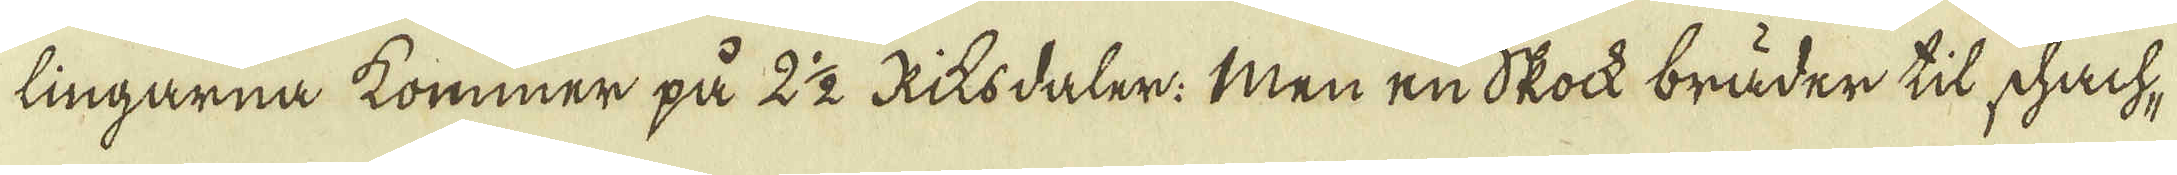lingarna kommer på 2 1/2 Riksdaler. Men en Skock bräder til schach-
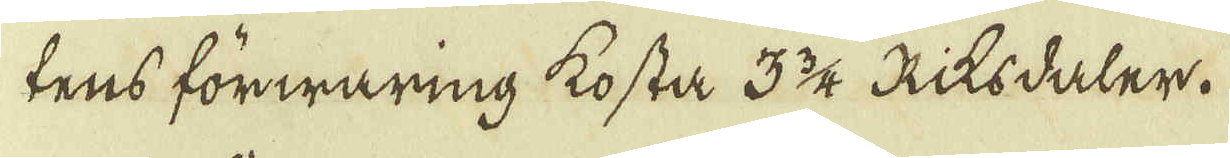tens förwaring kosta 3 3/4 Riksdaler.
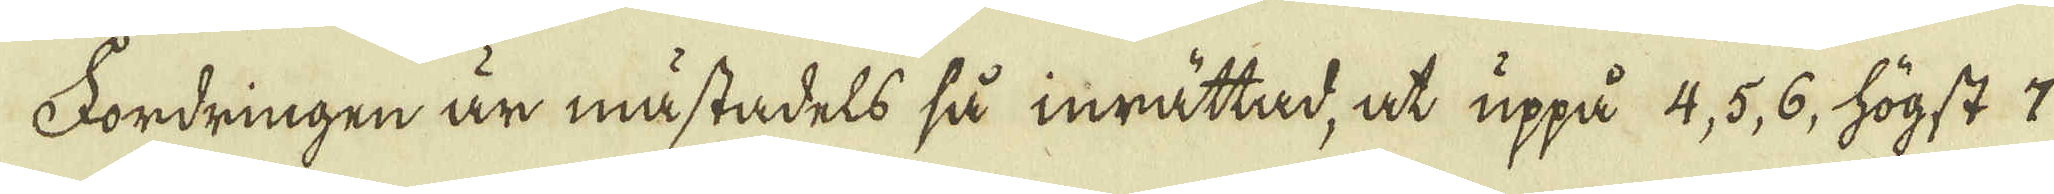Fordringen är måstadels så inrättad, at uppå 4, 5, 6, högst 7
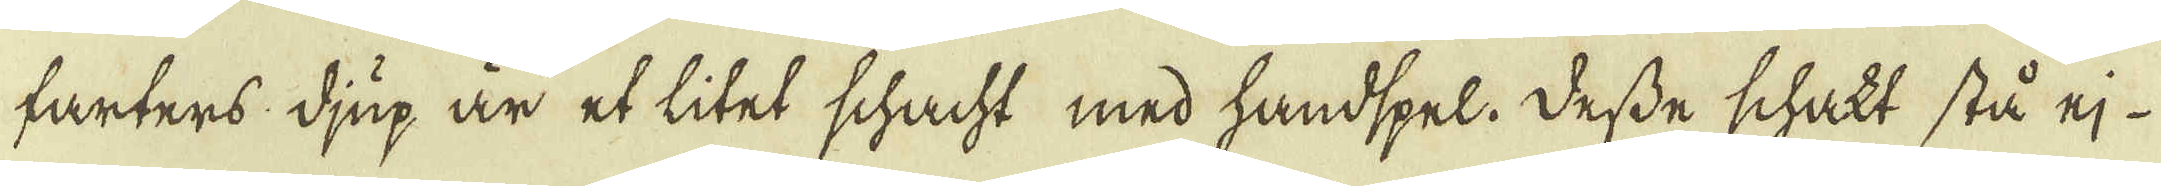farters: djup är et litet schacht med handspel. Desse schakt stå ej 
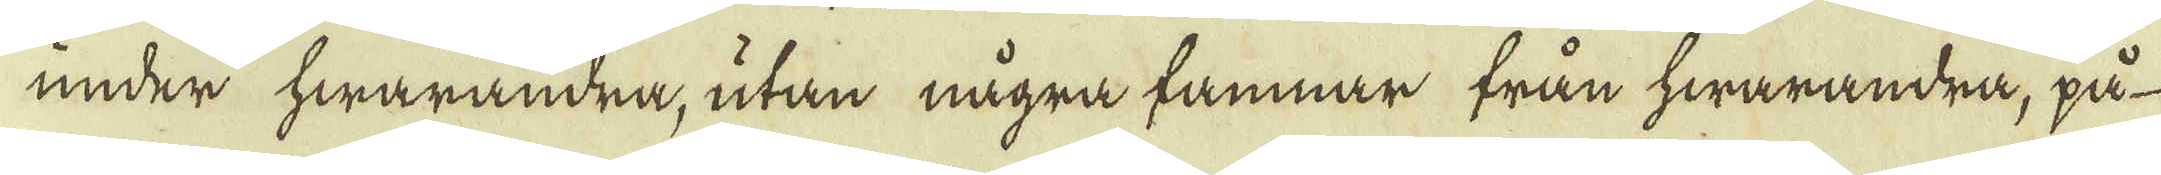under hwarandra, utan några famnar från hwarandra, på
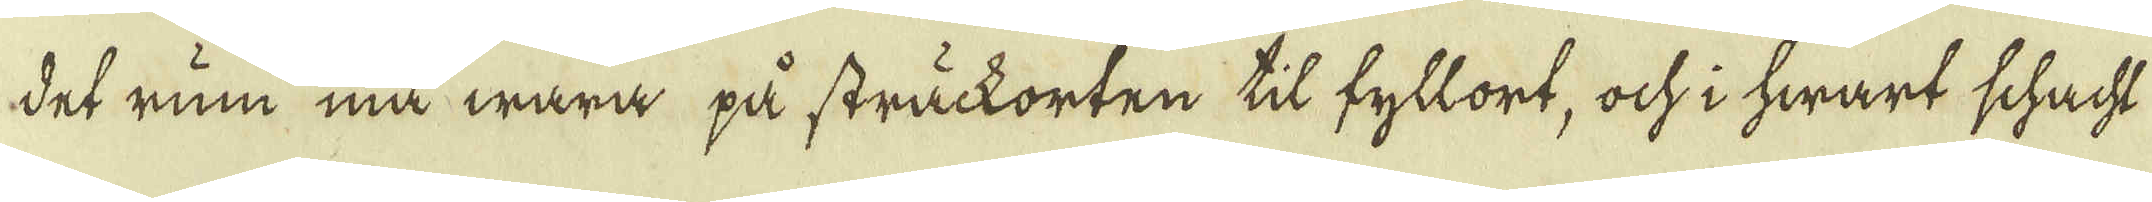det rum må wara på sträckorten til fyllort, och i hwart schacht
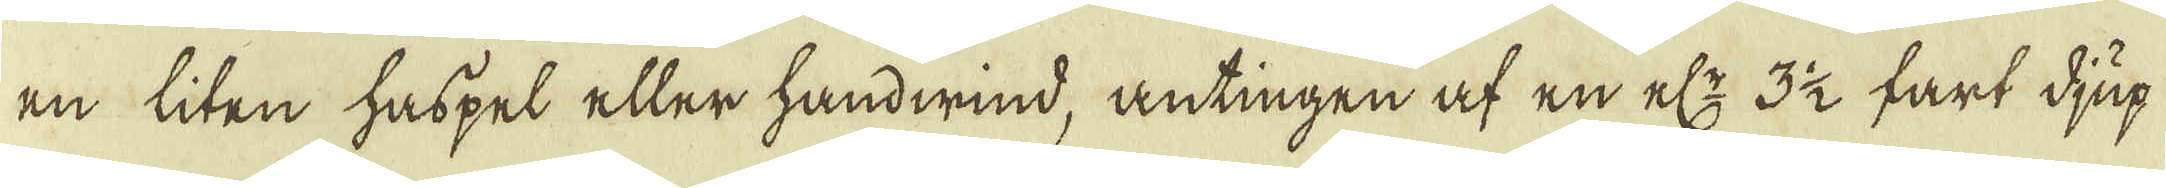en liten haspel eller handwind, antingen af en el:r: 3 1/2 fart djup
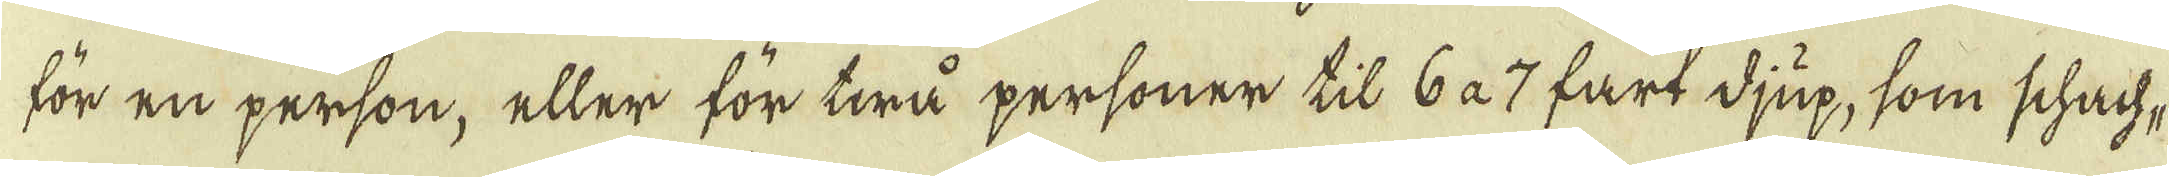för en person, eller för twå personer till 6 à 7 fart djup, som schach-
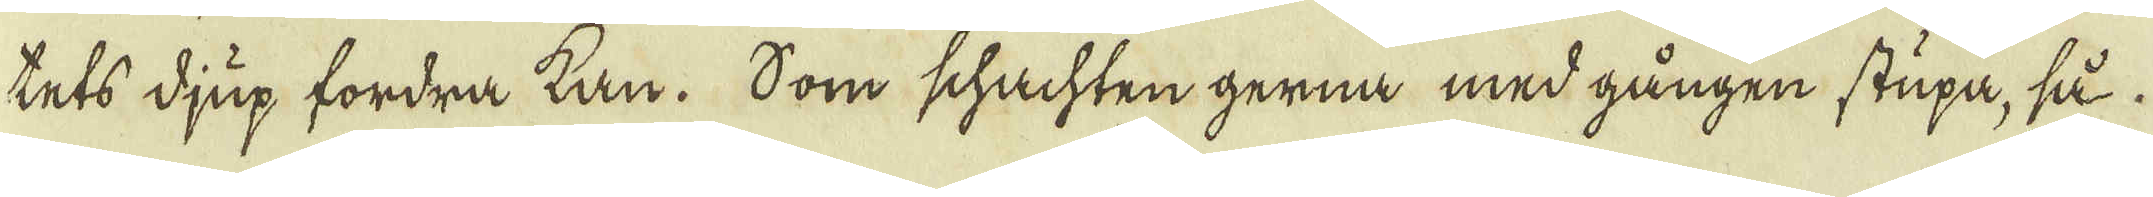tets djup fordra kan. Som schachten gerna med gången stupa, så
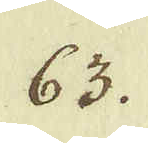63.
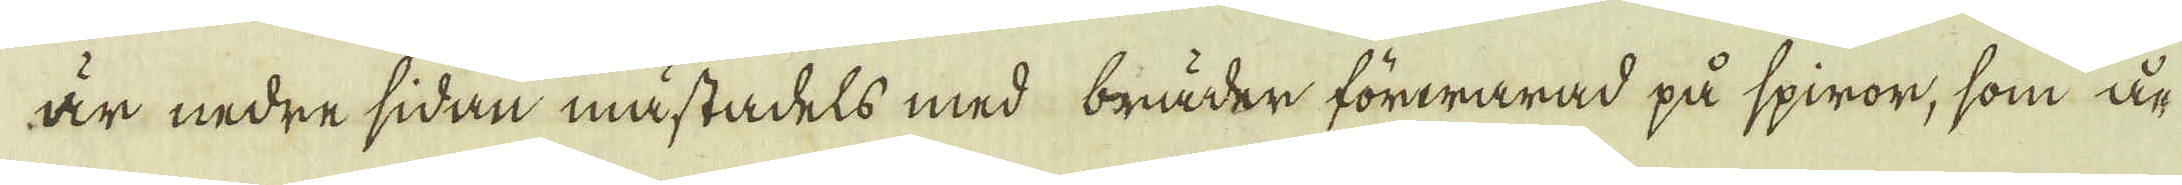är nedre sidan mästadels med bräder förwarad på spiror, som å-
